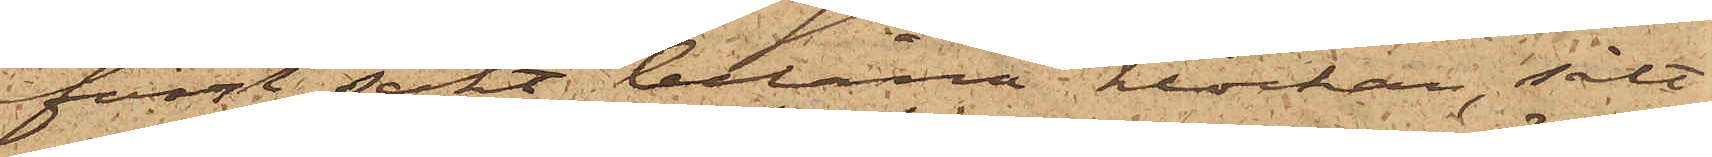först sökt belåna klockan, sålt
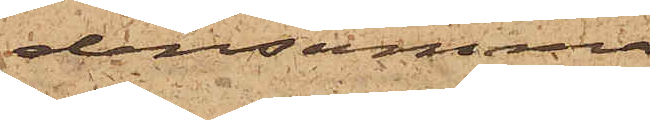densamma
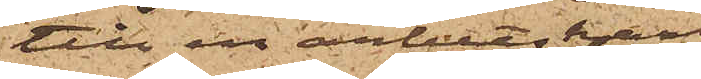till en arbetskarl
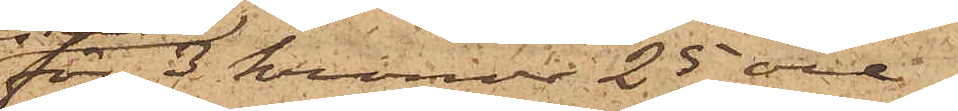för 3 kronor 25 öre,
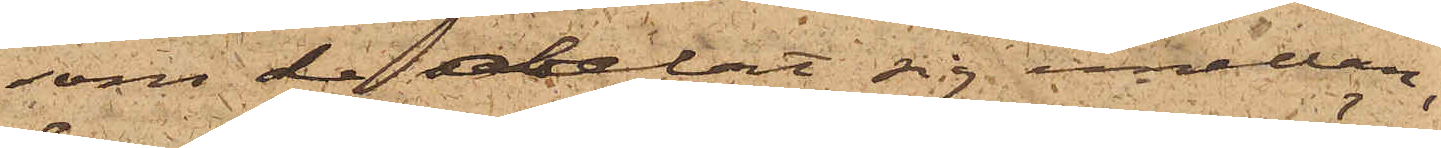som de delat sig emellan;
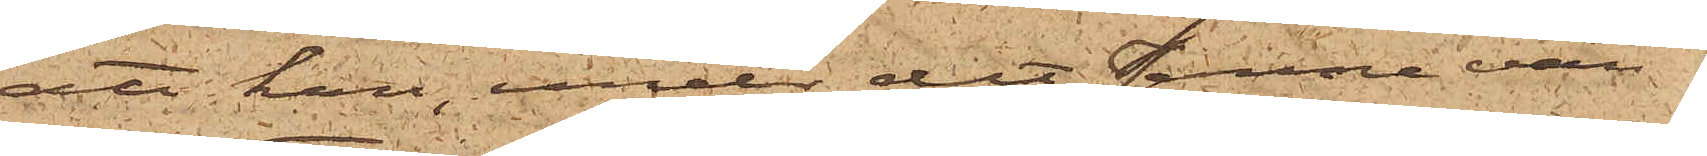att han, under det Janne vän¬
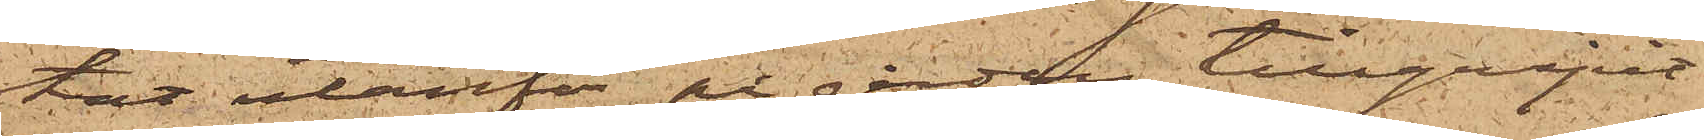tat utanför på gården, tillgripit
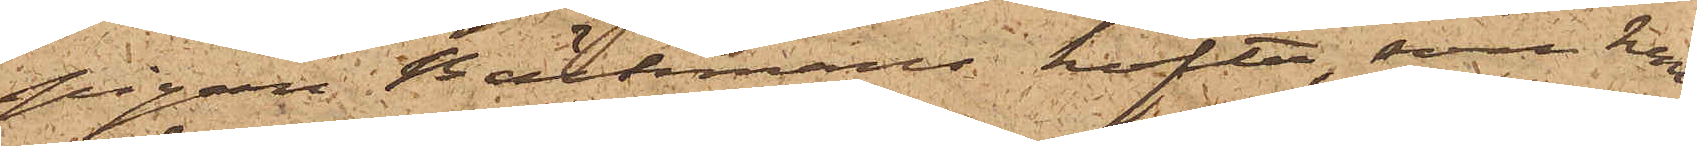Pigan Bäckmans kofta, som han
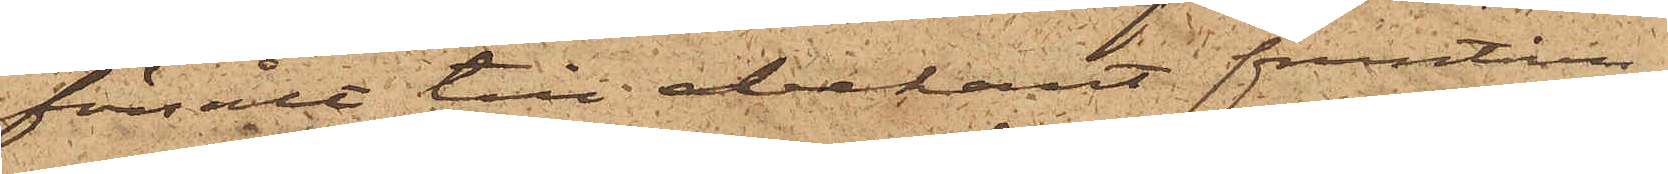försålt till obekant fruntim¬
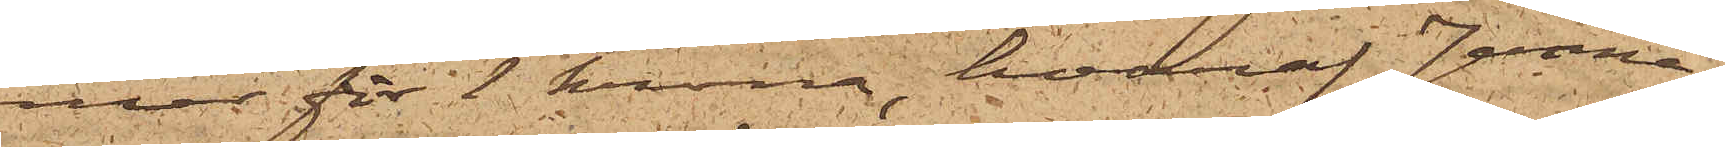mer för 1 krona, hvaraf Janne
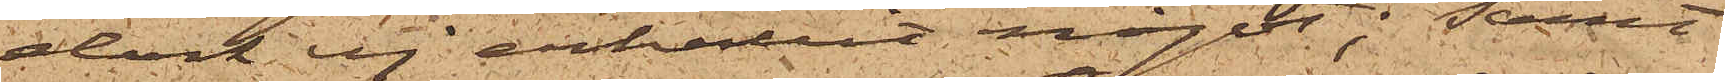dock ej erhållit något; Samt
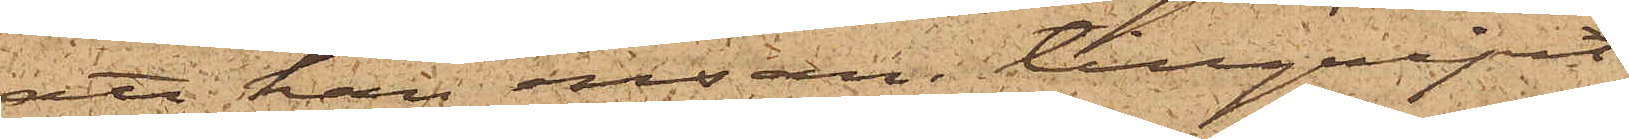att han ensam tillgripit
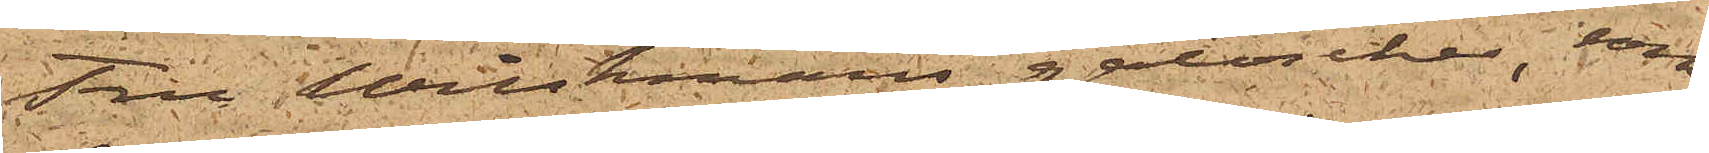Fru Wilskmans galoscher, som
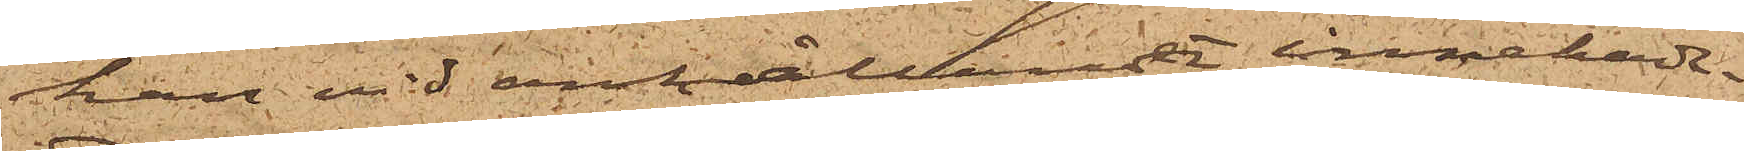han vid anhållande innehade.
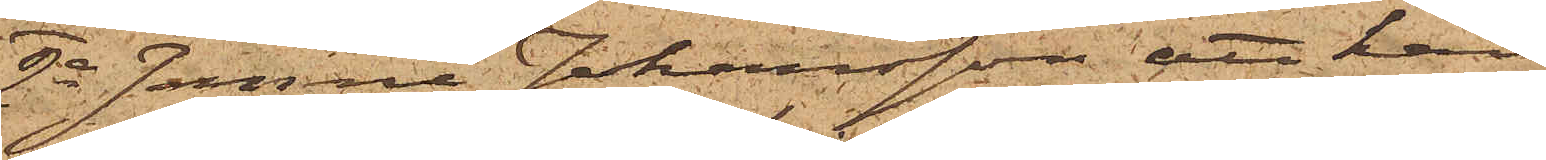2o Janne Johansson, att han
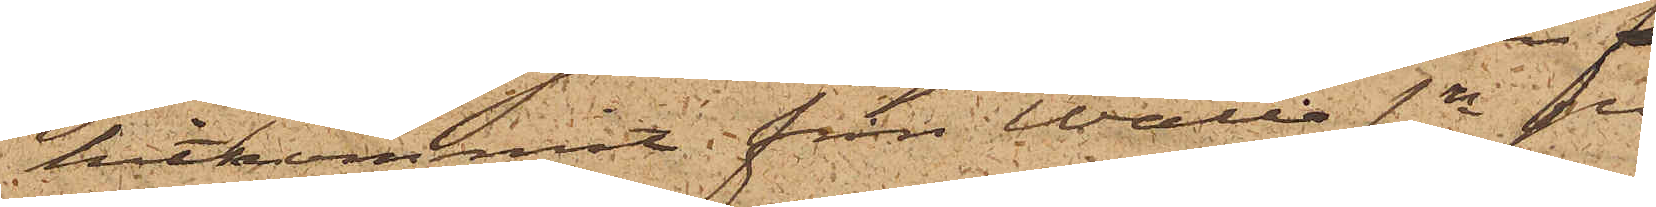hitkommit från Walla sn på
